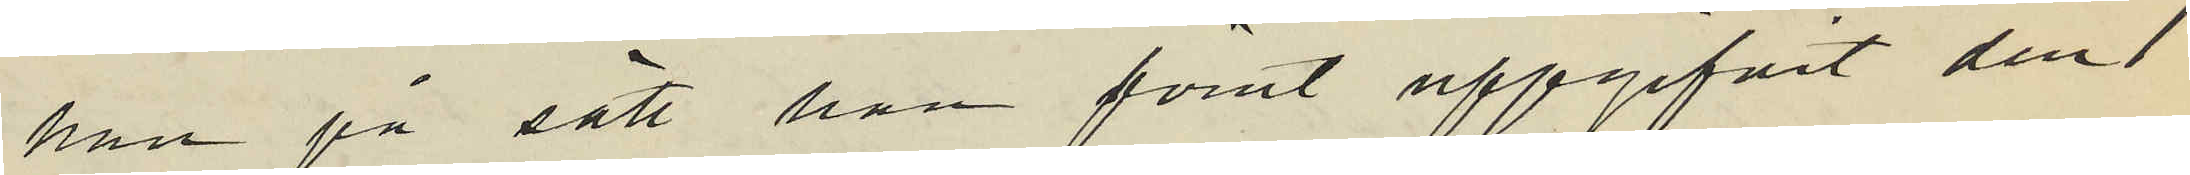han på sätt han förut uppgifvit den 1
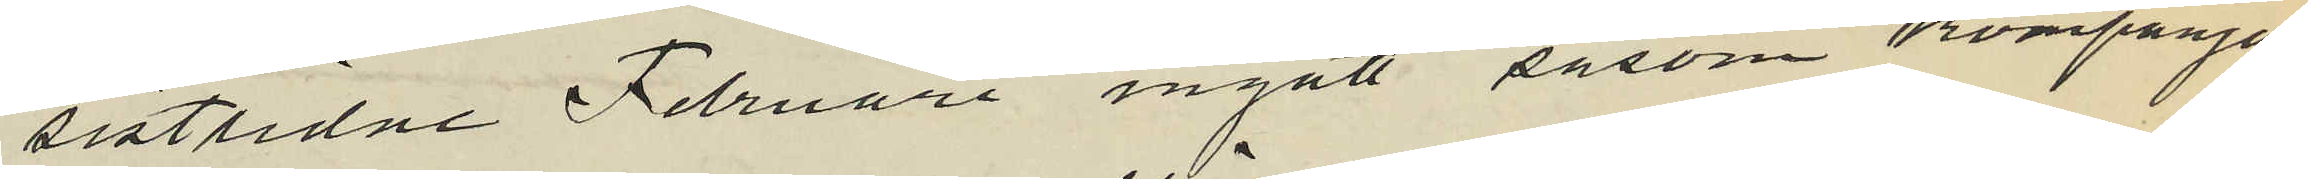sistlidne Februari ingått såsom kompanjon
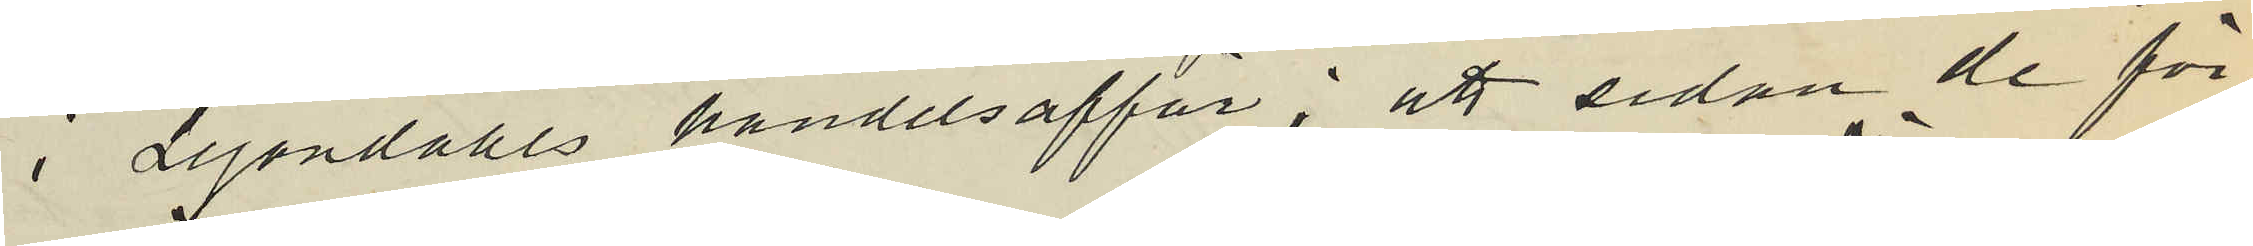i Lejondahls handelsaffär; att sedan de för¬
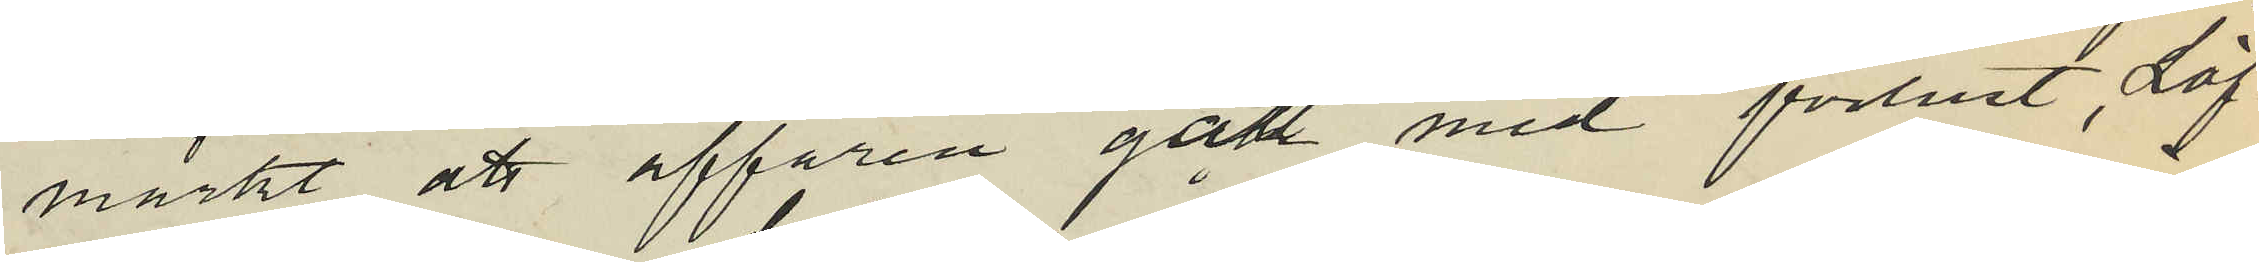märkt att affären gått med förlust, Löf¬
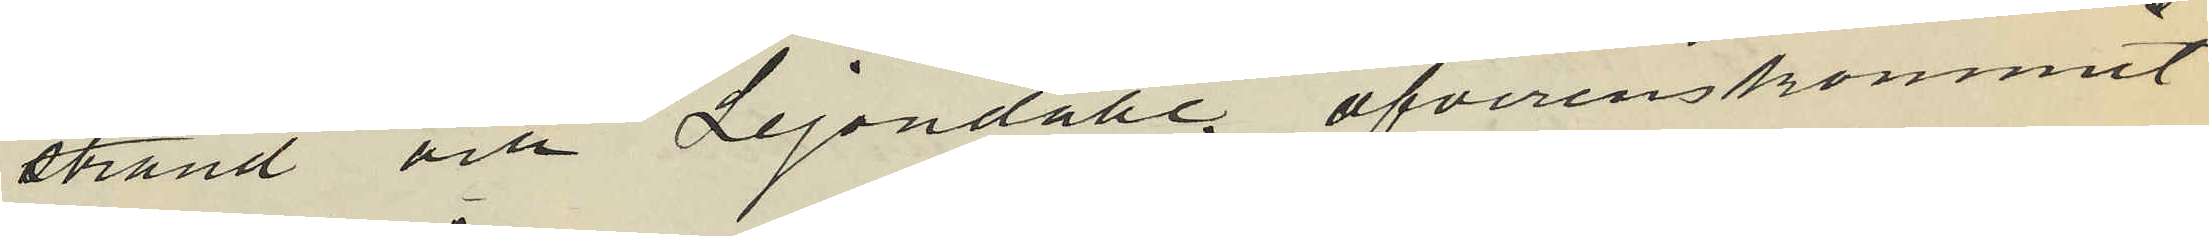strand och Lejondahl öfverenskommit
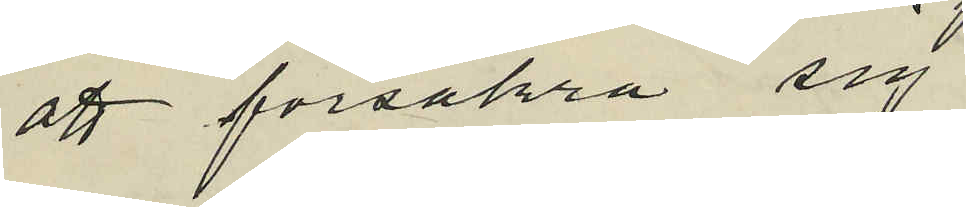att försäkra sig
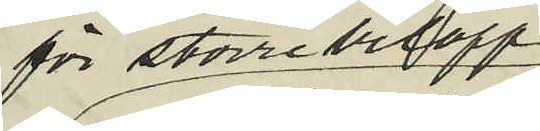för större belopp
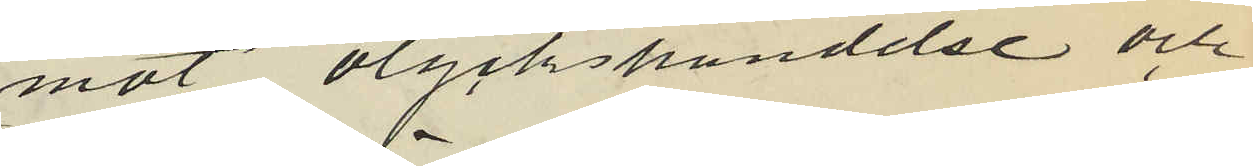mot olyckshändelse och
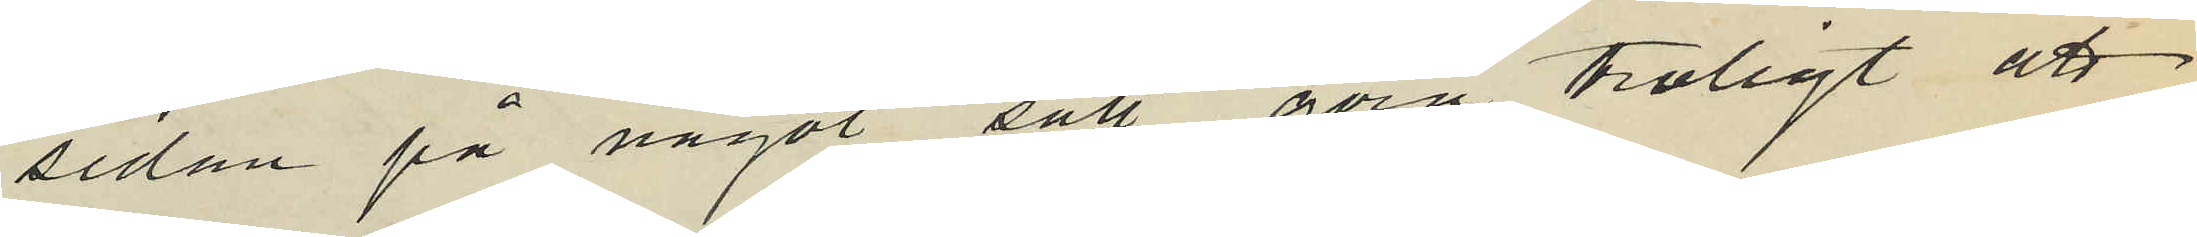sedan på något sätt göra troligt att
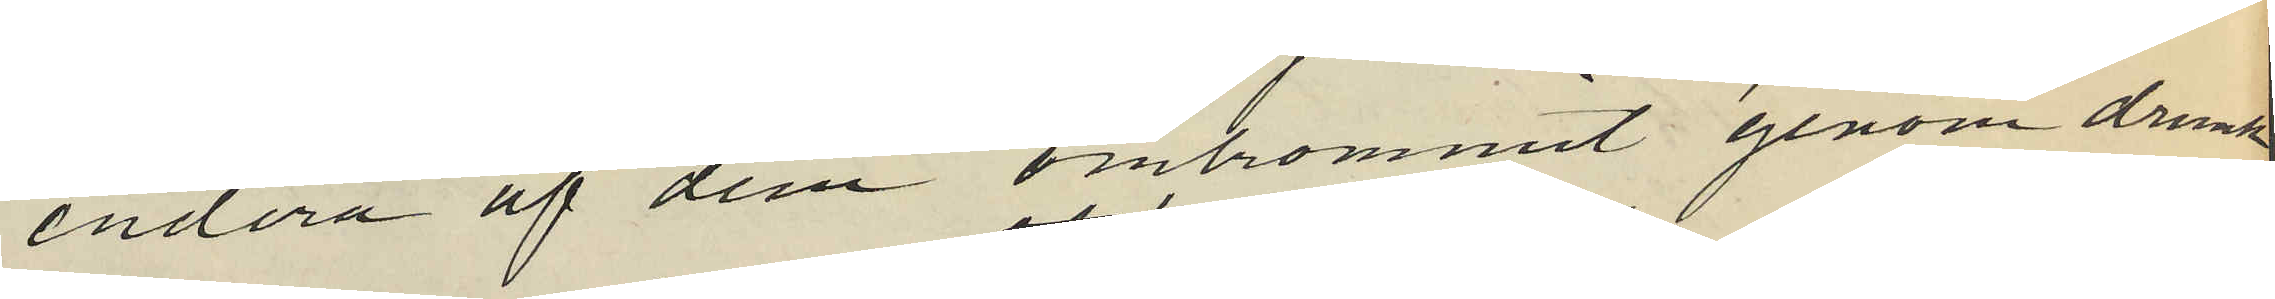endera af dem omkommit genom drunk¬
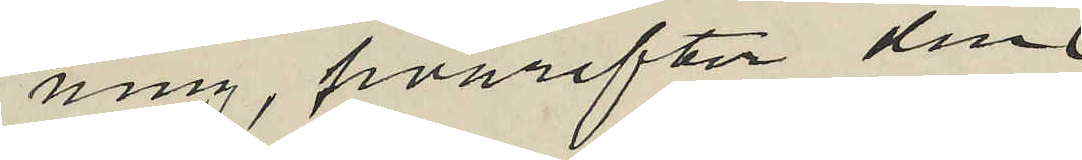ning, hvarefter den
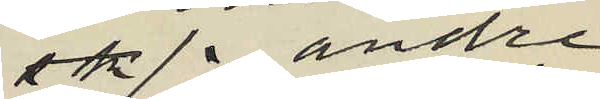sk andre
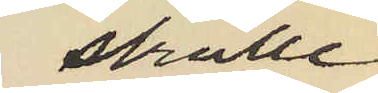skullle
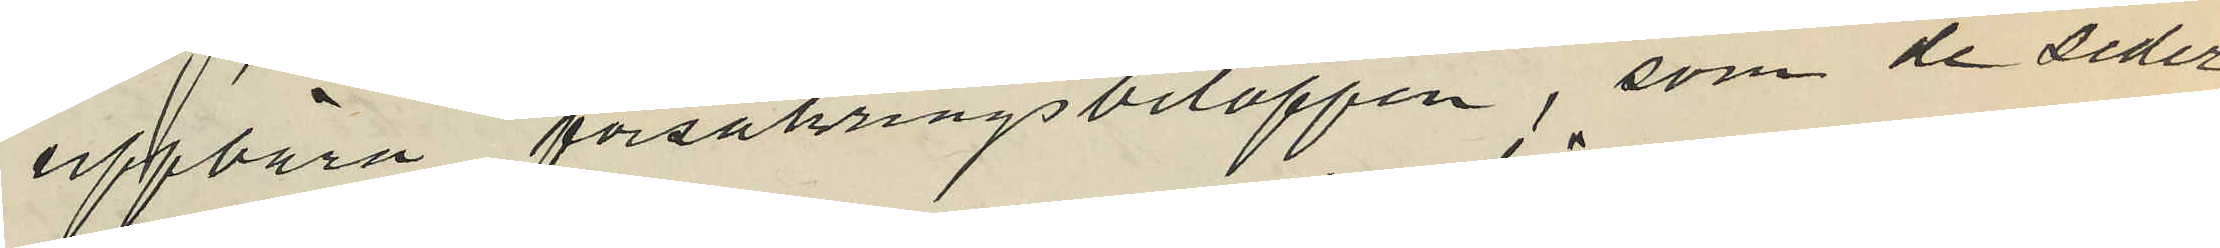uppbära försäkringsbeloppen, som de seder
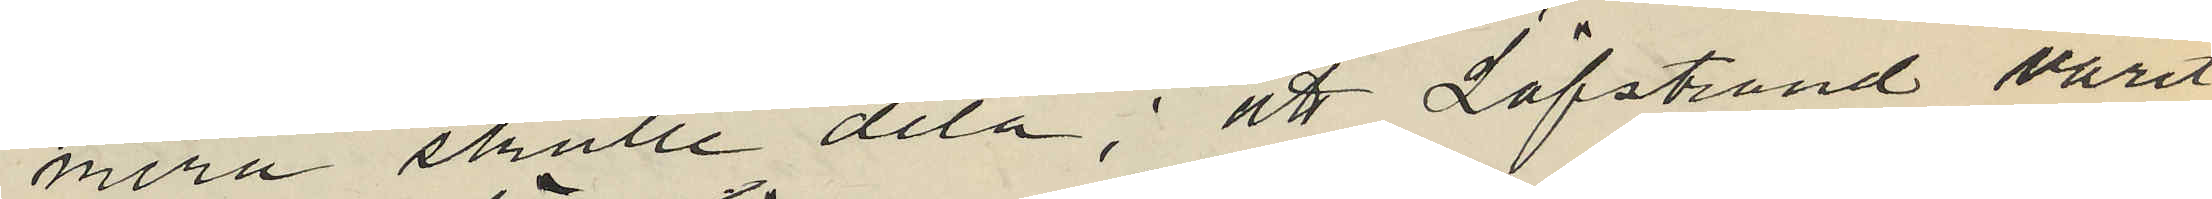mera skulle dela; att Löfstrand varit
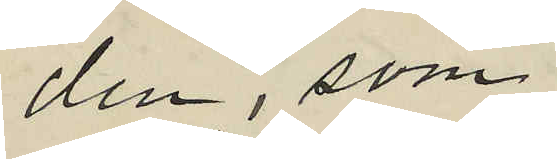den, som
